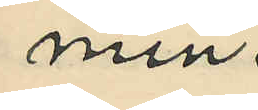min.
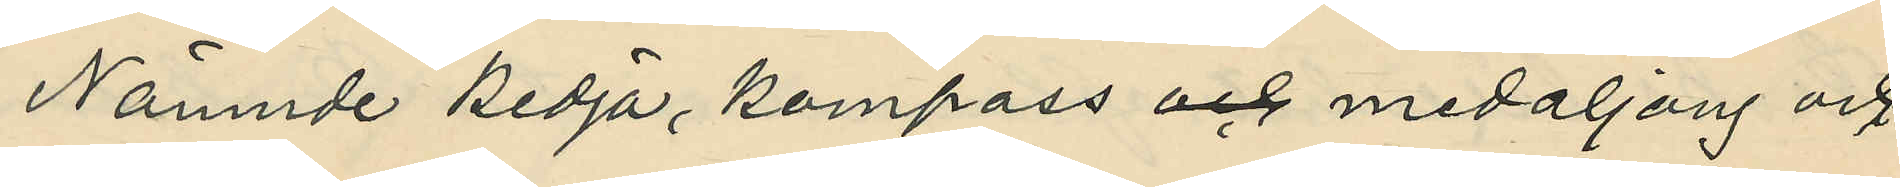Nämnde kedja, kompass och medaljong och
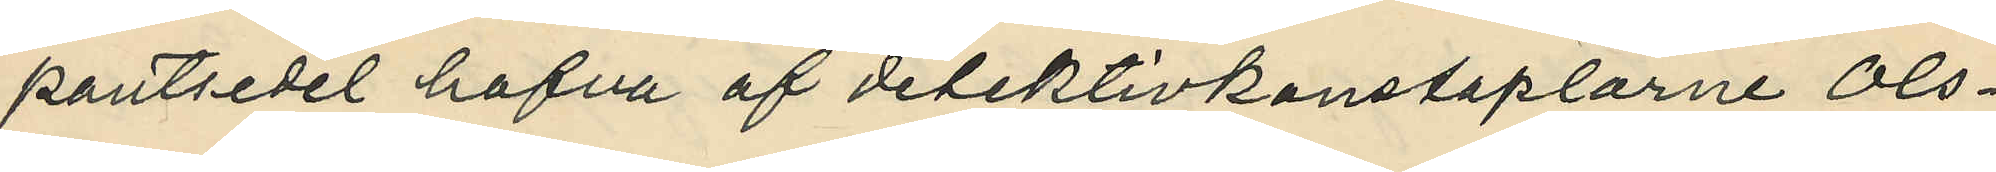pantsedel hafva af detektivkonstaplarne Ols¬
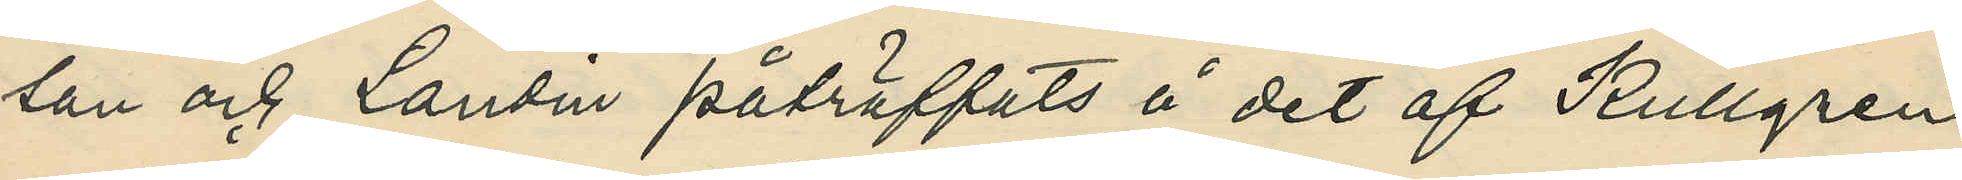son och Landin påträffats å det af Kullgren
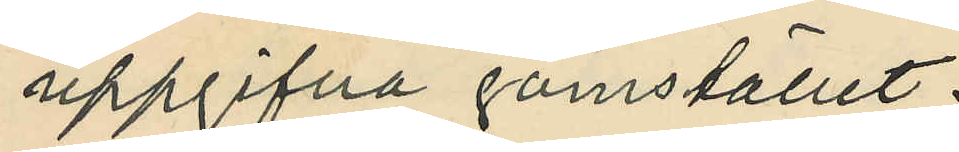uppgifna gömstället.
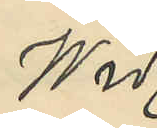Wid
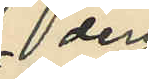den
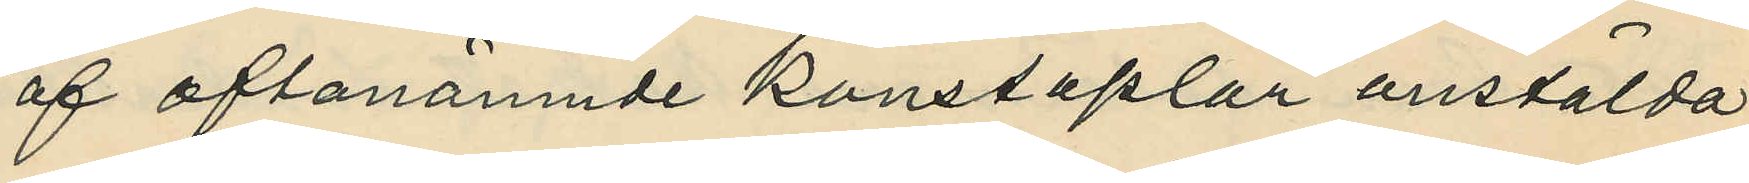af oftanämnde konstaplar anstälda
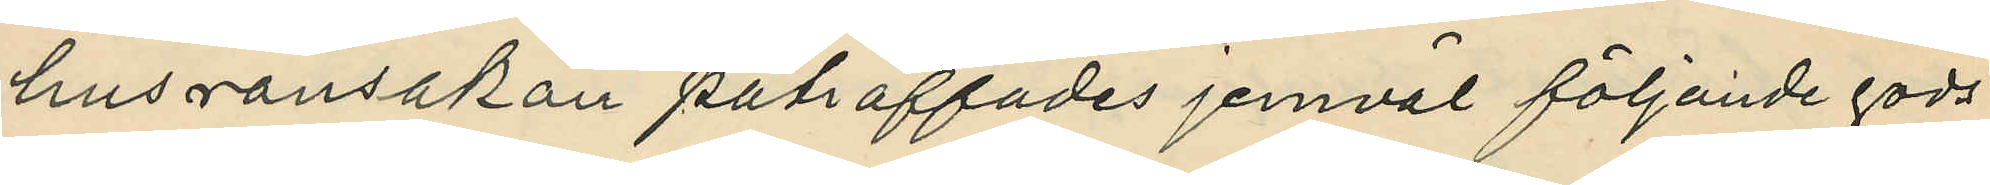husransakan påträffades jemväl följande gods
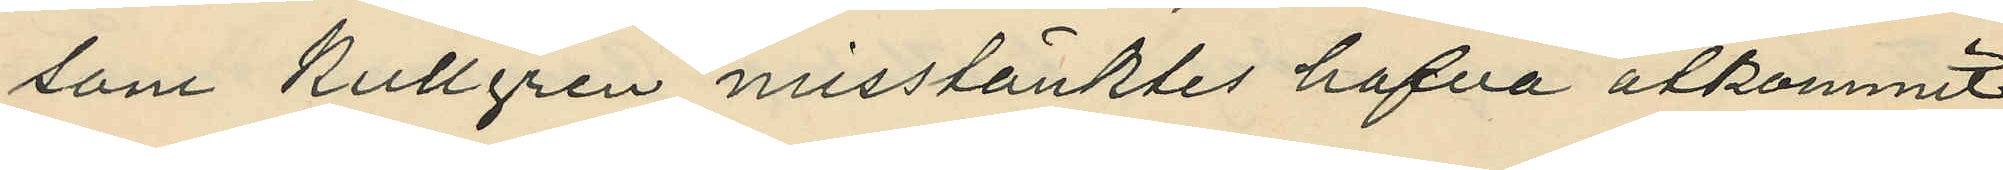som Kullgren misstänktes hafva åtkommit
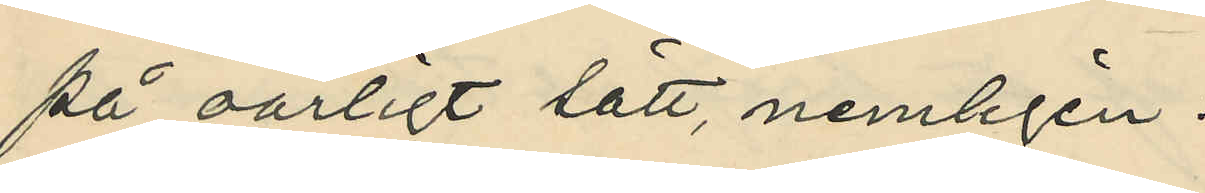på oärligt sätt, nemligen:
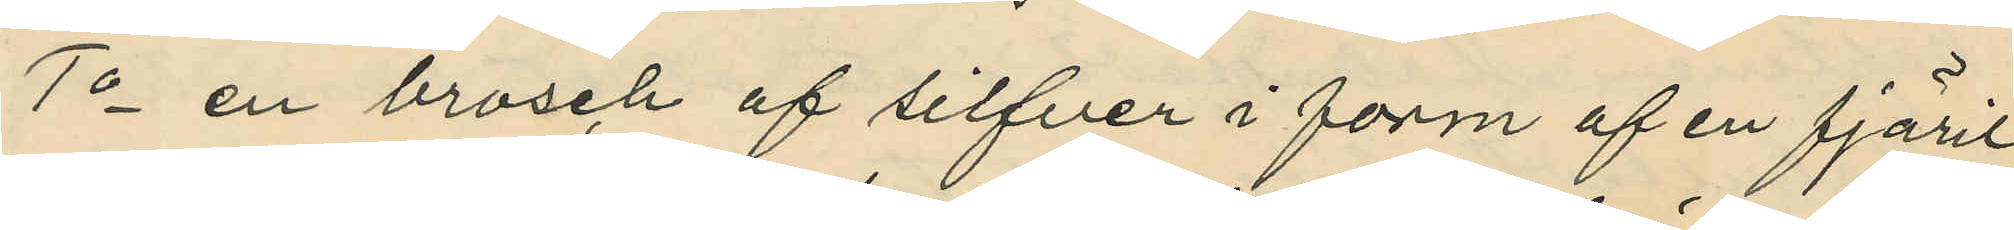1o en brosch af silfver i form af en fjäril
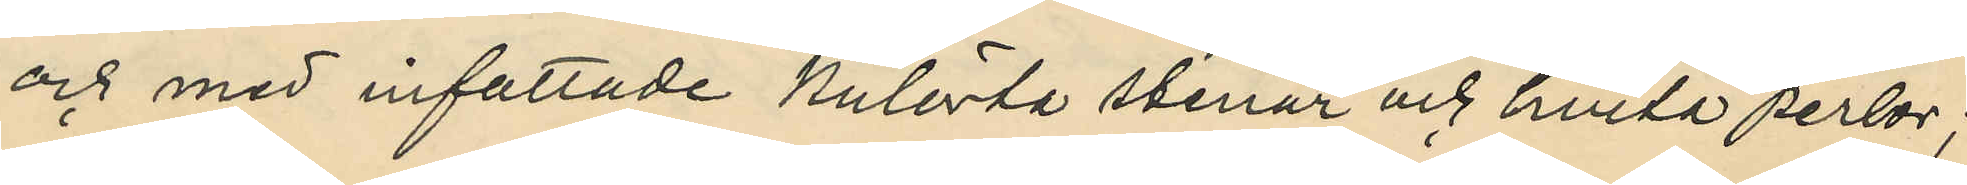och med infattade kulörta stenar och hvita perlor;
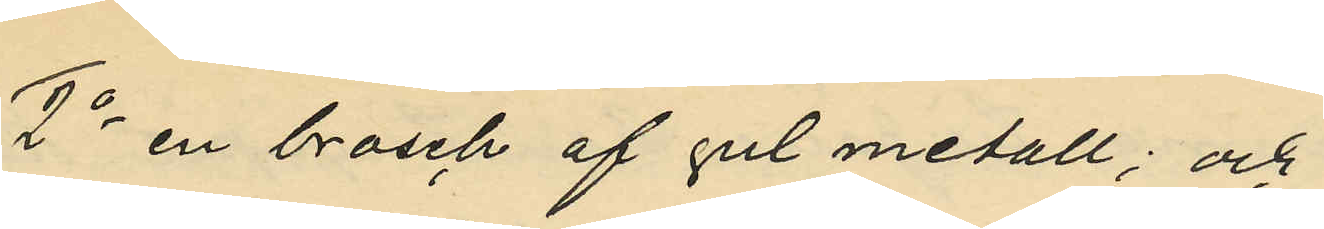2o en brosch af gul metall; och
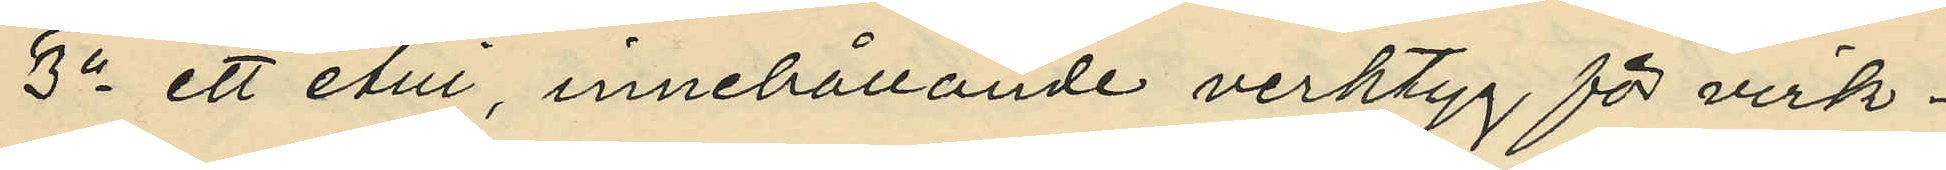3o ett etui, innehållande verktyg för virk¬
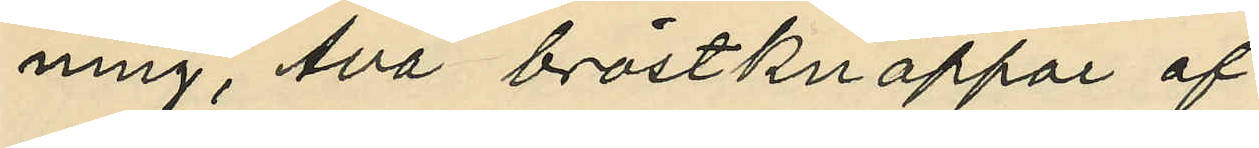ning, två bröstknappar af
